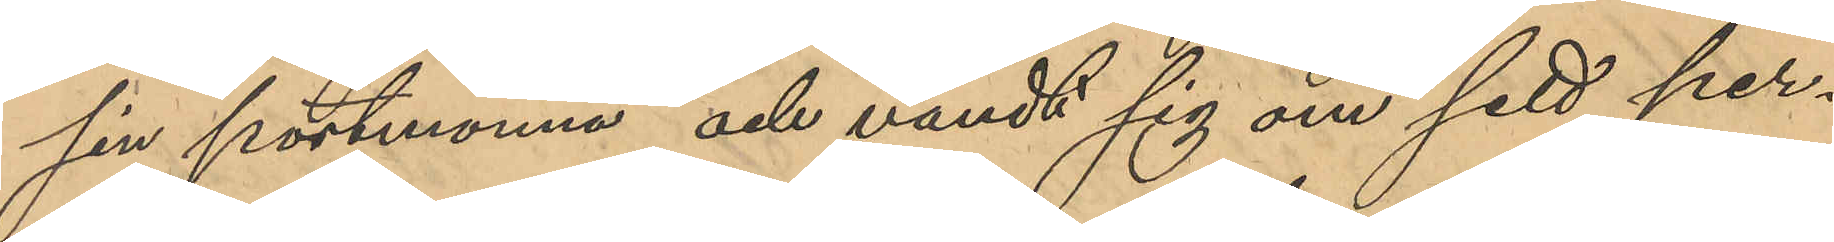sin portmonnä och vändt sig om sett per¬
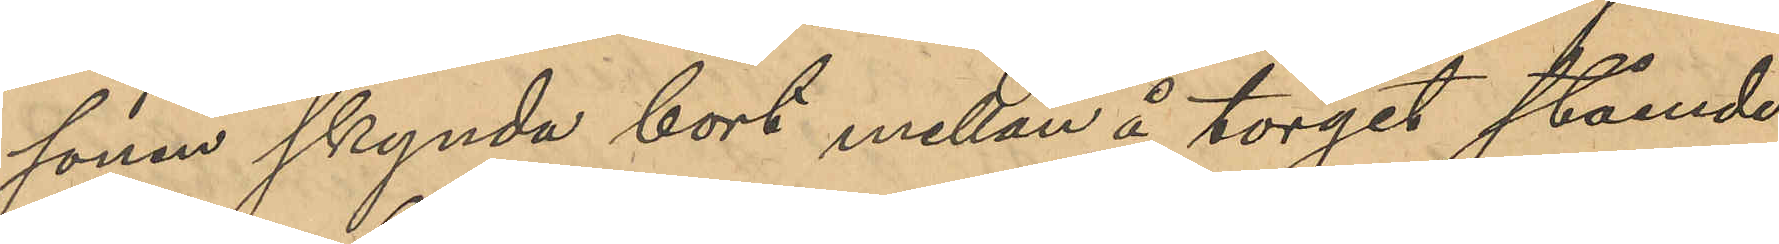sonen skynda bort mellan å torget stående
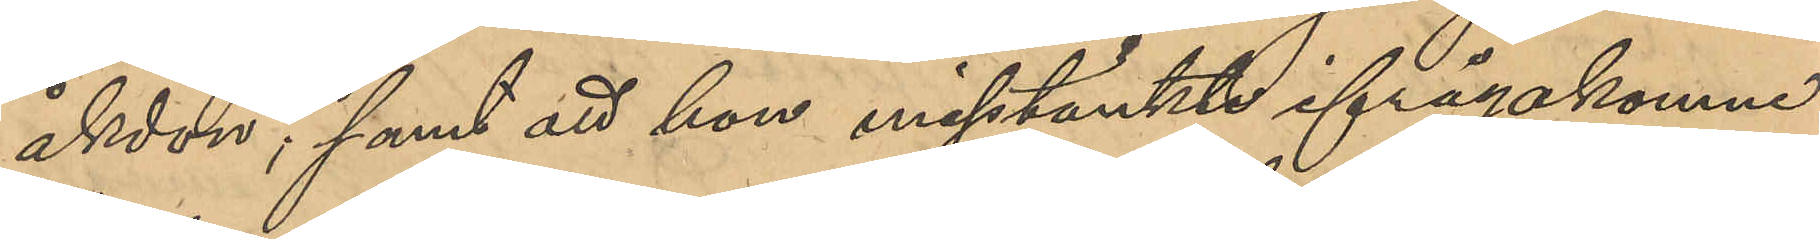åkdon; samt att hon misstänkte ifrågakomne
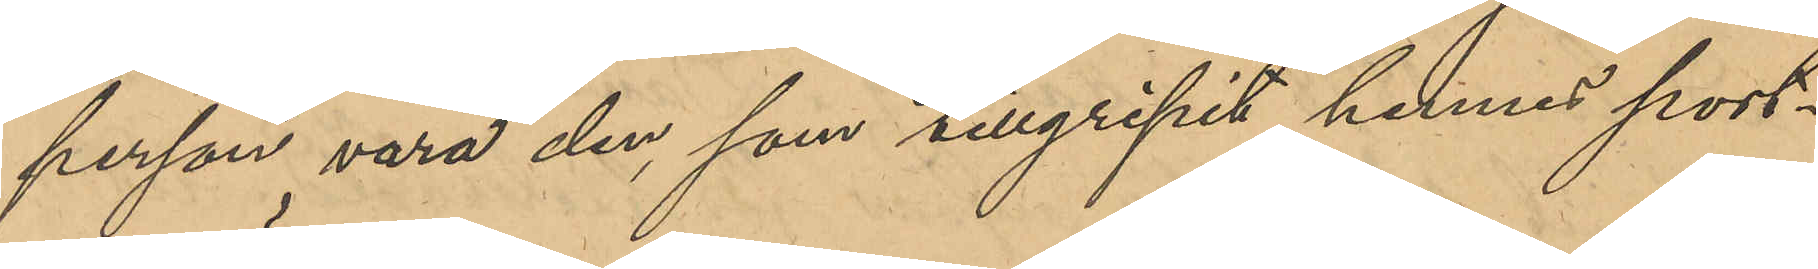person vara den som tillgripit hennes port¬
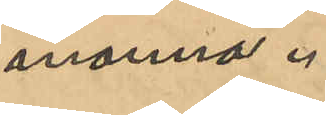monnä.
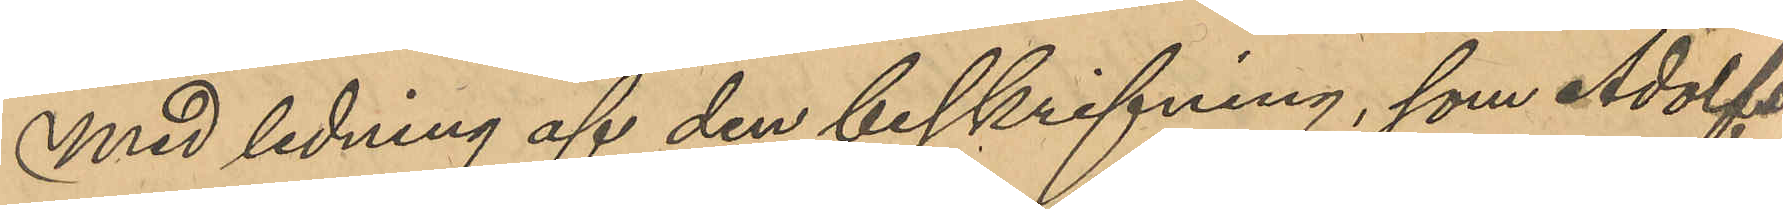Med ledning af den beskrifning, som Adolfs¬
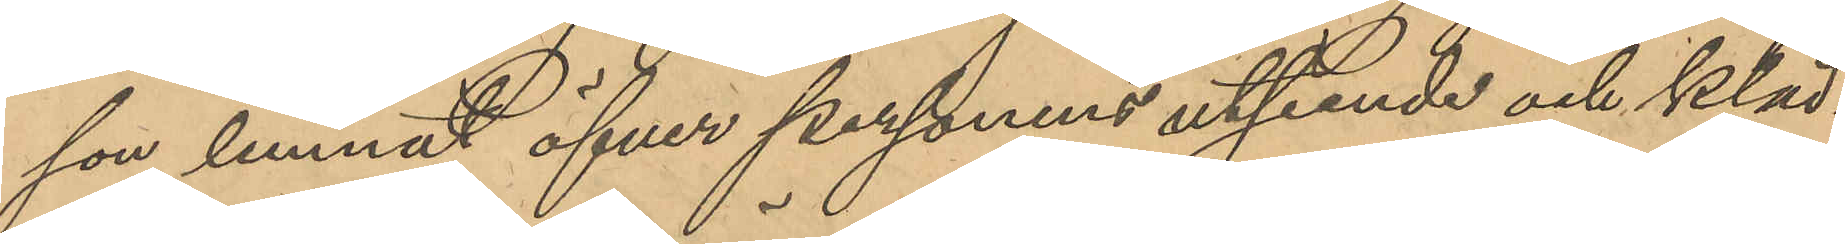son lemnat öfver personens utseende och kläd¬
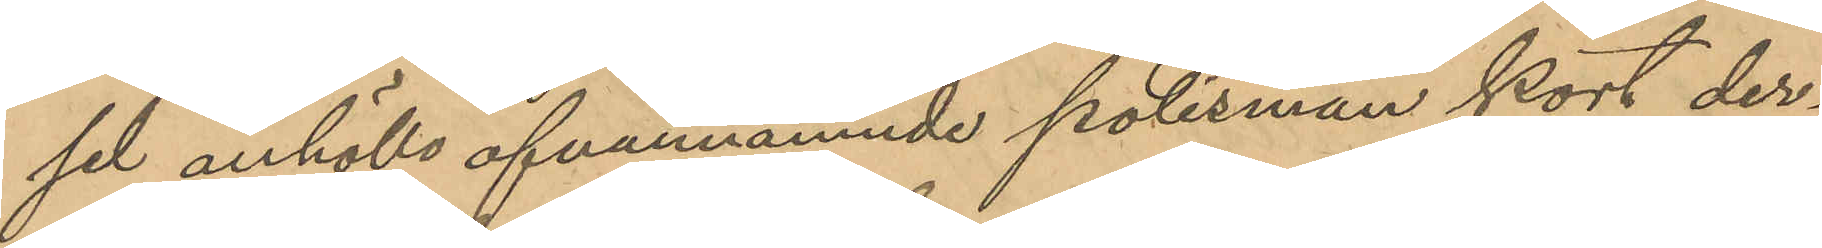sel anhöllo ofvannämnde polismän kort der¬
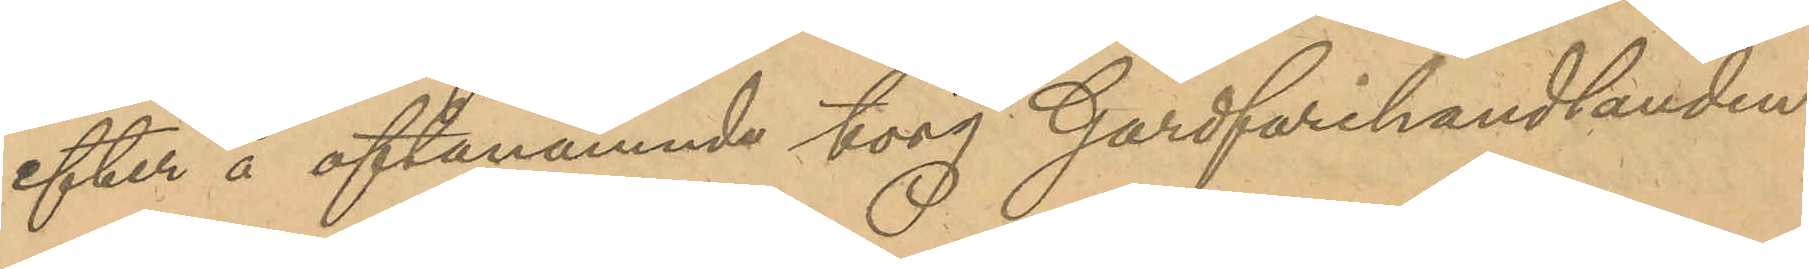efter å oftanämnde torg Gårdfarihandlanden
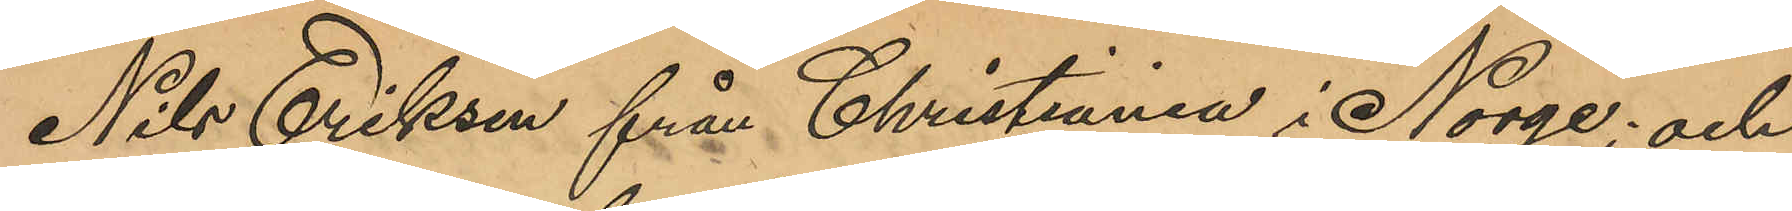Nils Eriksen från Christiania i Norge; och
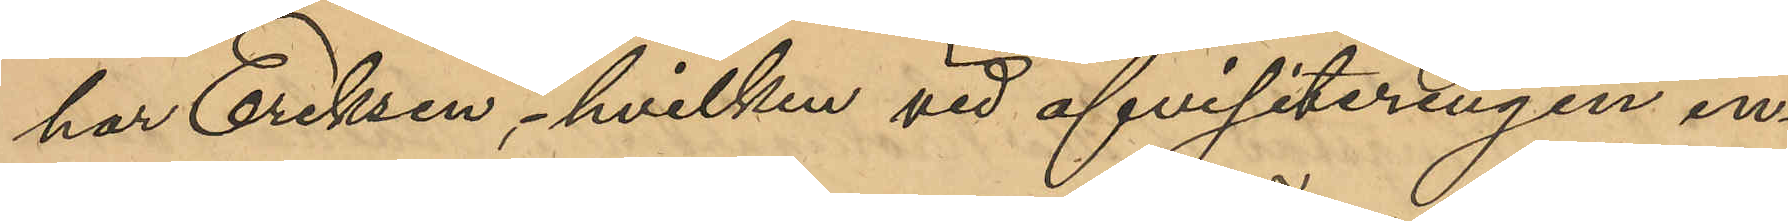har Eriksen, hvilken vid afvisiteringen in¬
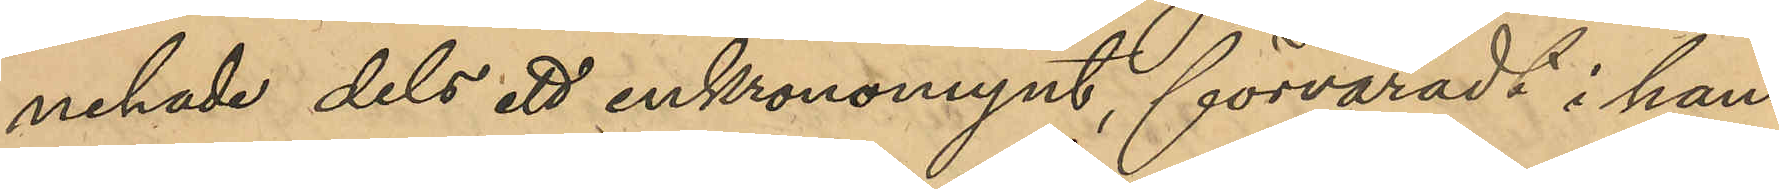nehade dels ett enkronomynt, förvaradt i hans
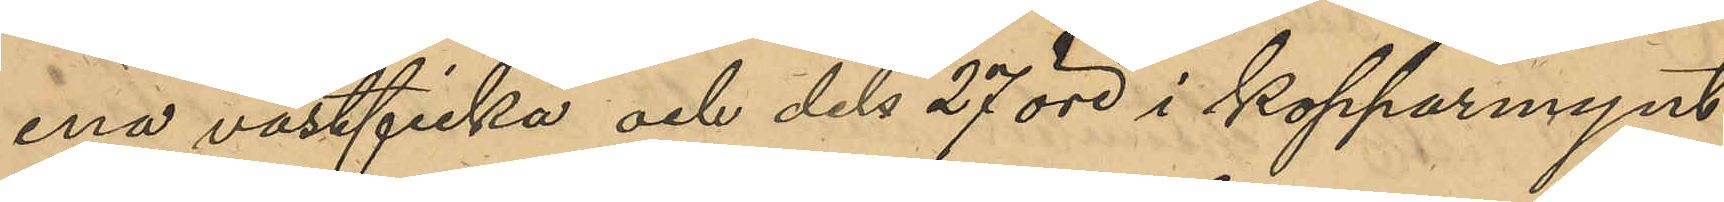ena västficka och dels 27 öre i kopparmynt,
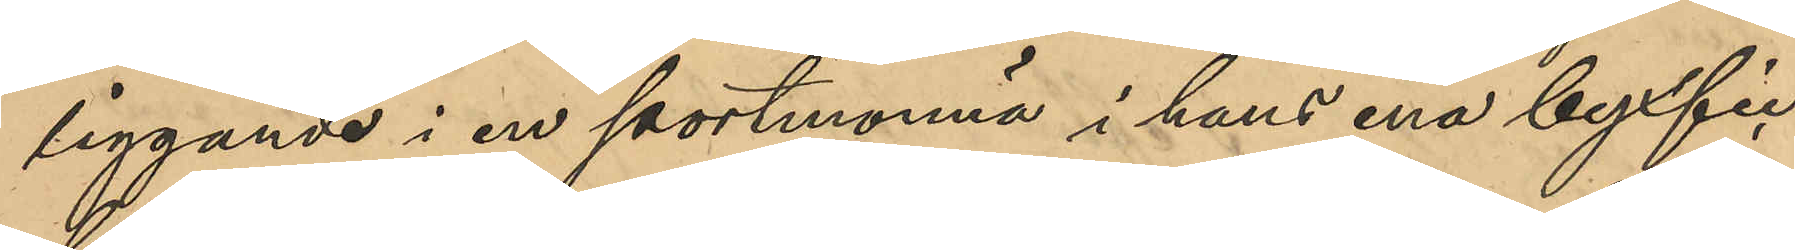liggande i en portmonnä i hans ena byxfic¬
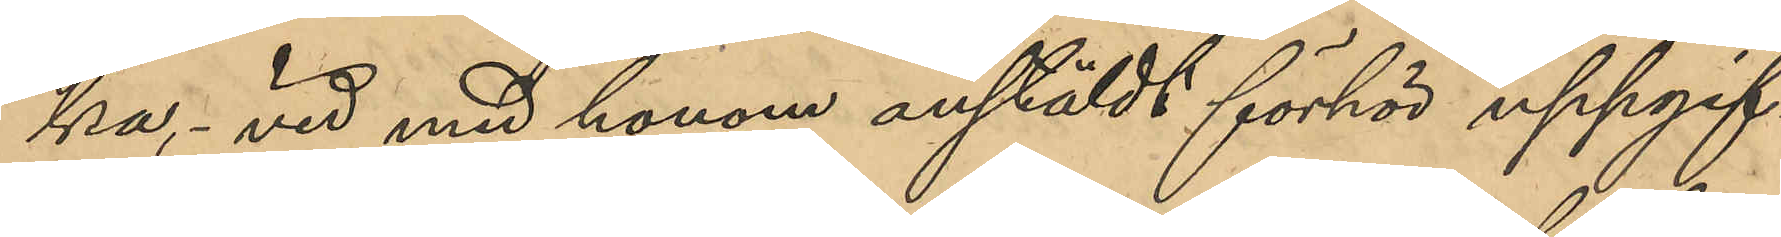ka, vid med honom anstäldt förhör uppgif¬
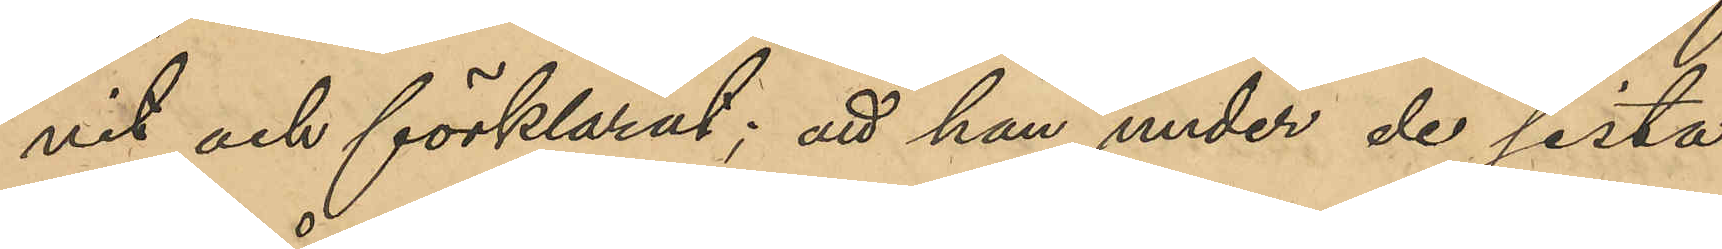vit och förklarat; att han under de sista
